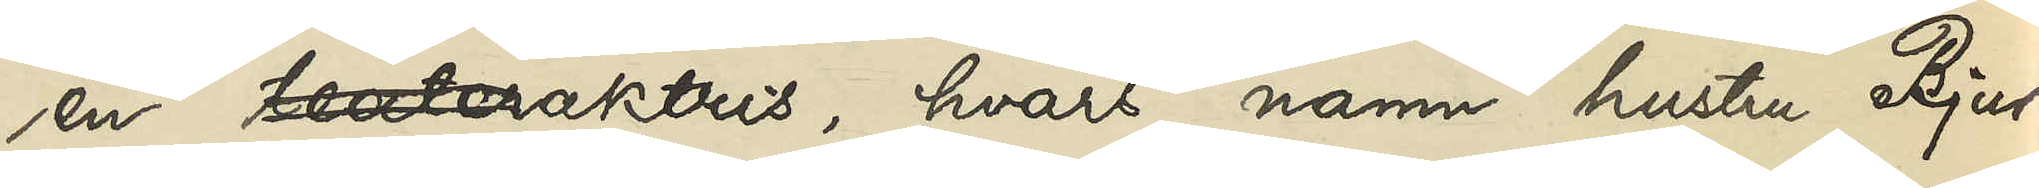en teateraktris, hvars namn hustru Bjur¬
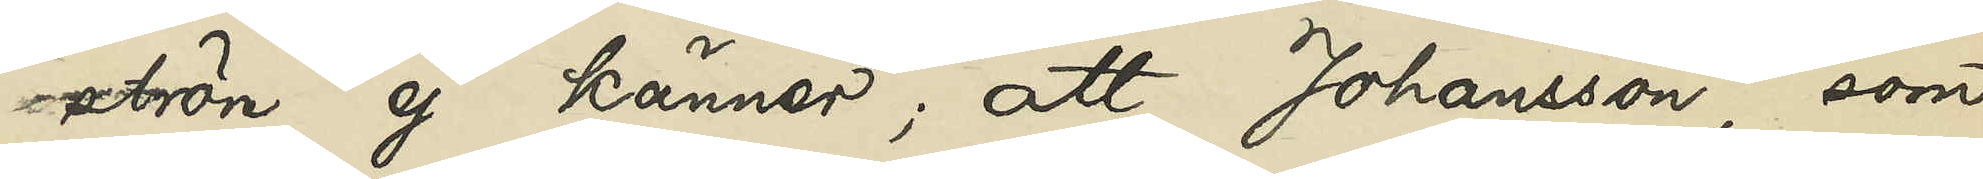ström ej känner; att Johansson, som
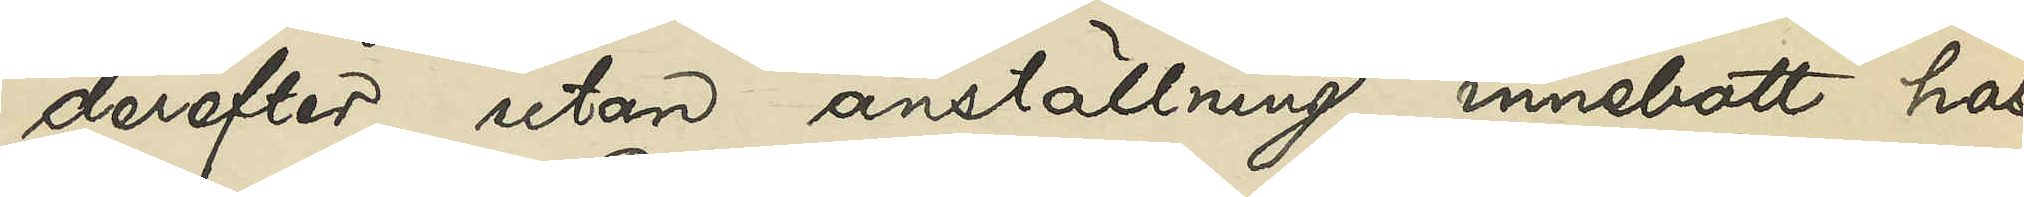derefter utan anställning innebott hos
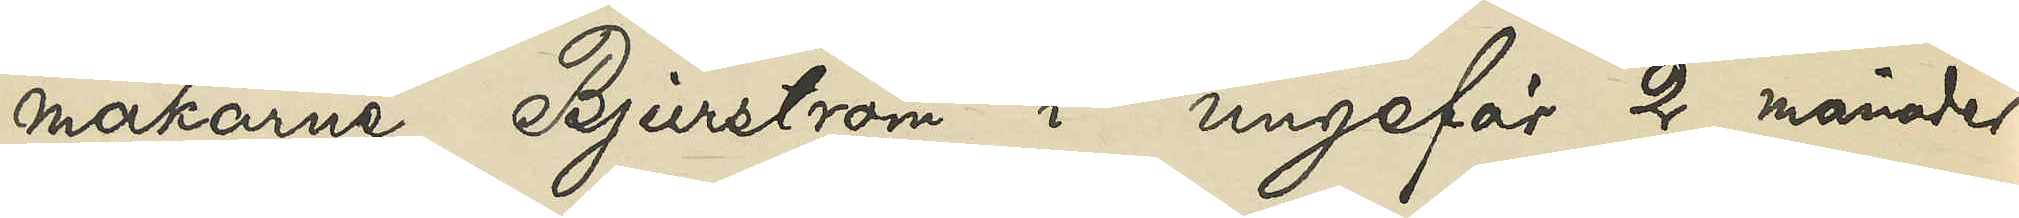makarne Bjurström i ungefär 2 månader
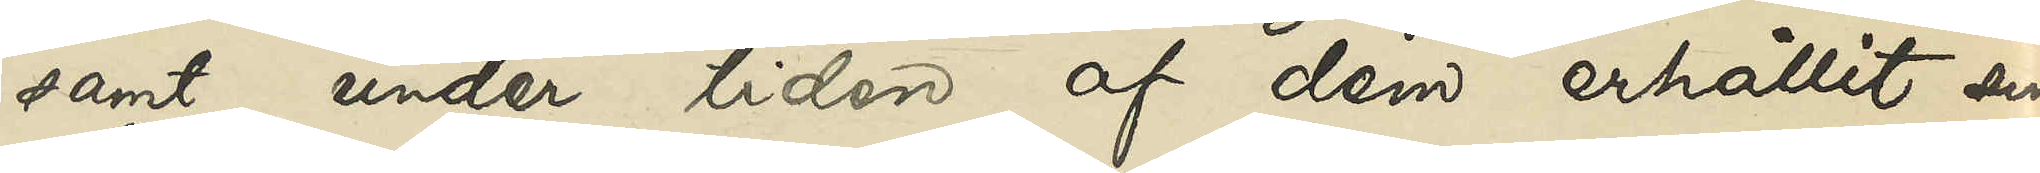samt under tiden af dem erhållit sin
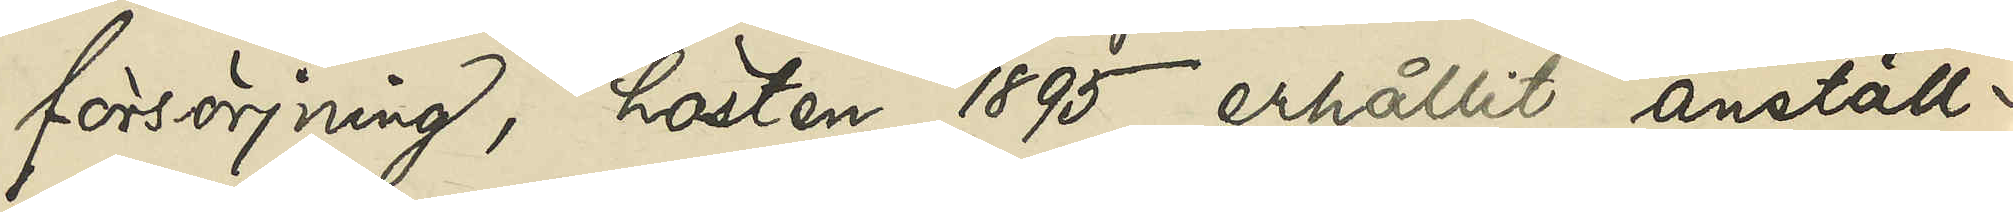försörjning, hösten 1895 erhållit anställ¬
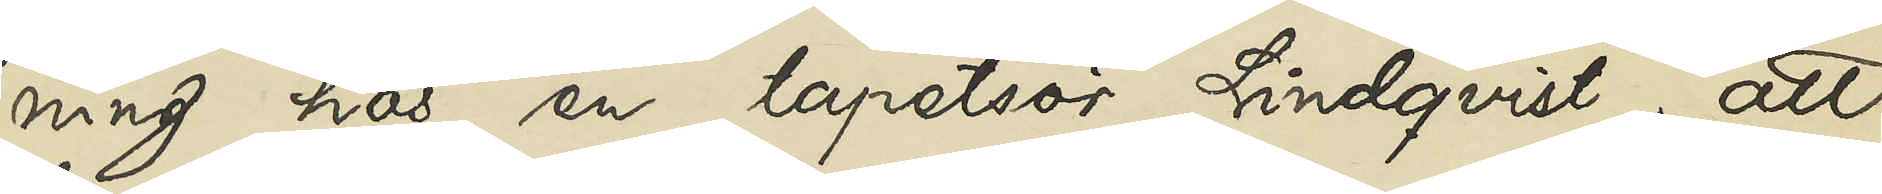ning hos en tapetsör Lindqvist; att
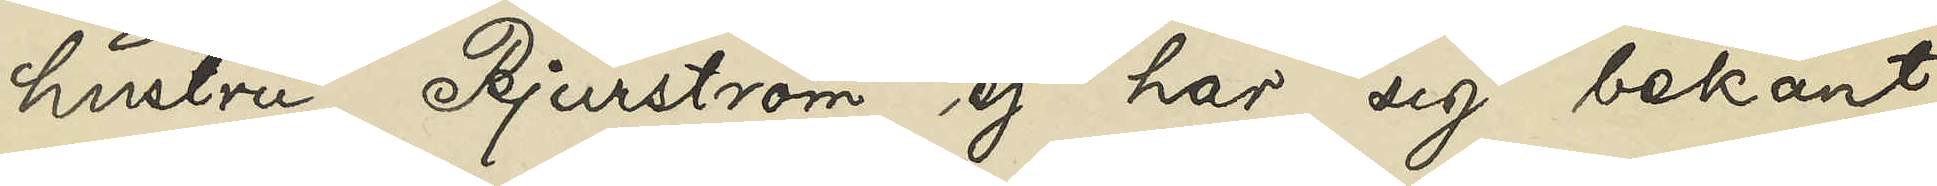hustru Bjurström ej har sig bekant
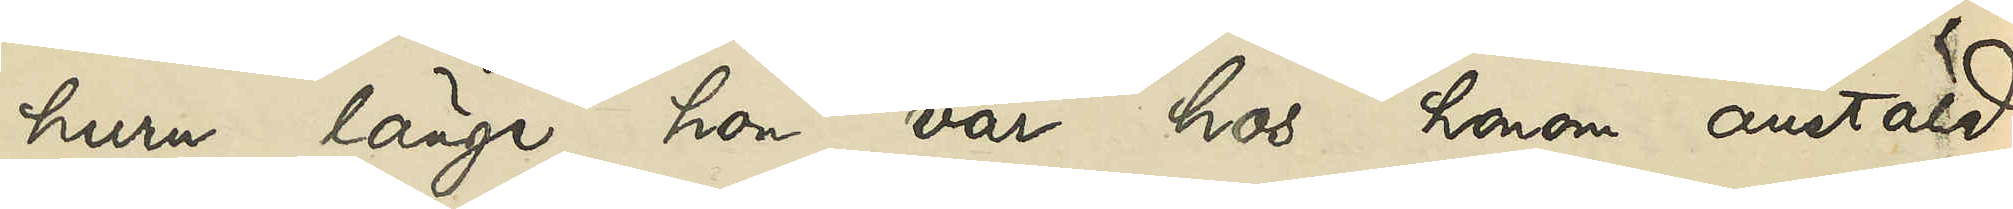huru länge hon var hos honom anstäld
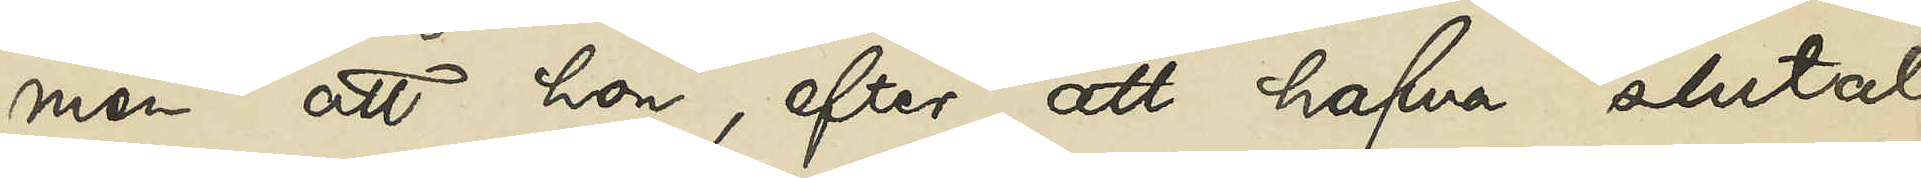men att hon, efter att hafva slutat
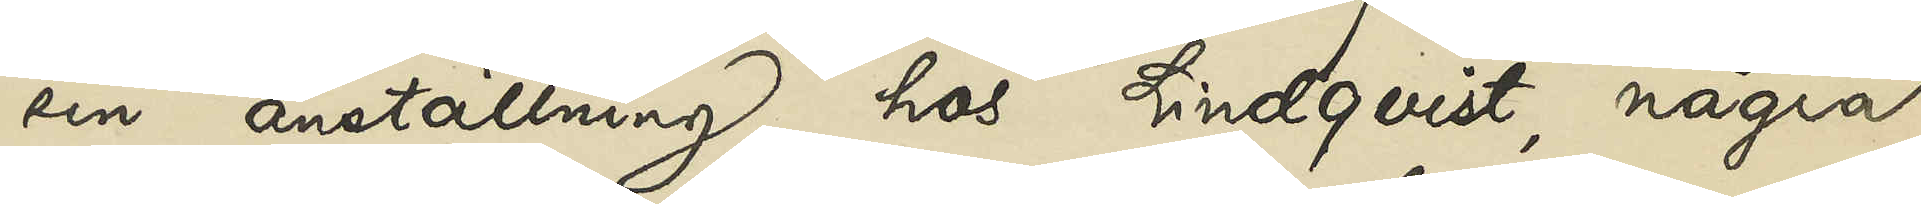sin anställning hos Lindqvist, några
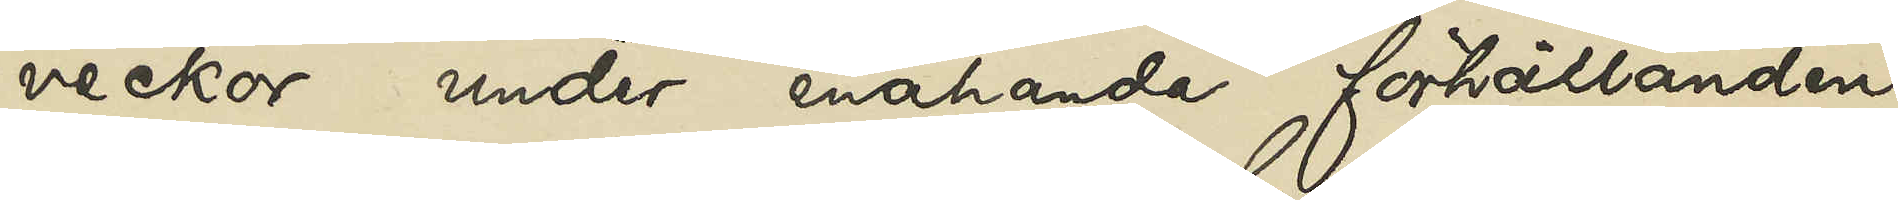veckor under enahanda förhållanden
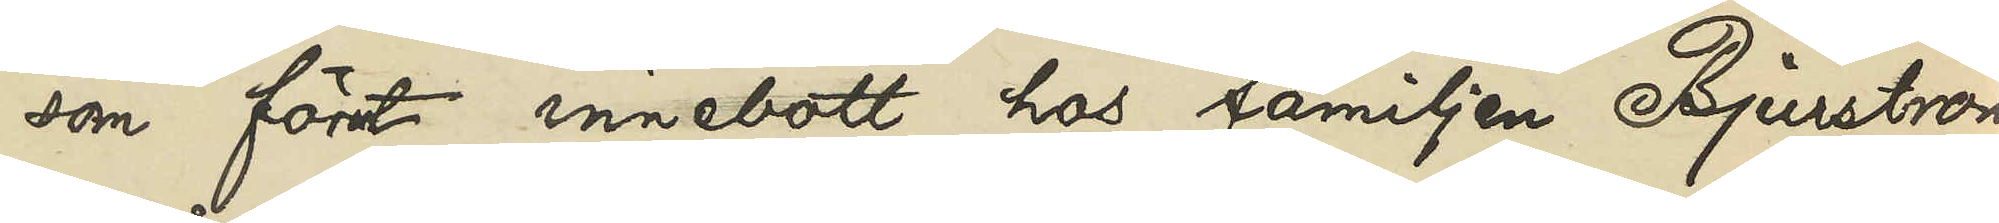som förut innebott hos familjen Bjurström;
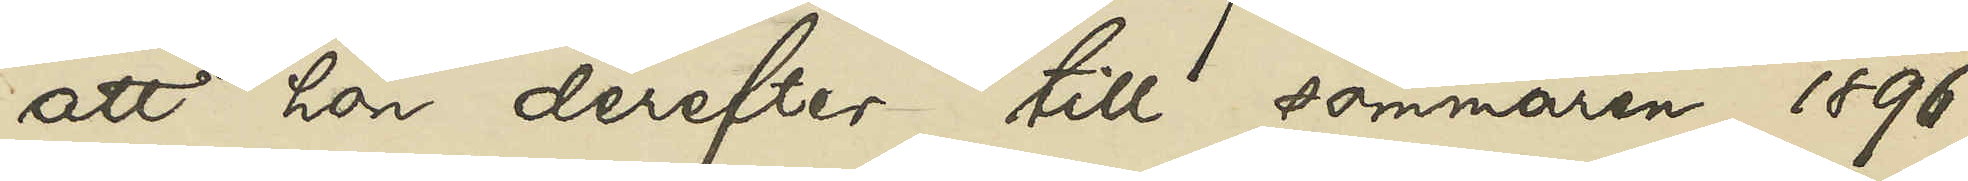att hon derefter till sommaren 1896
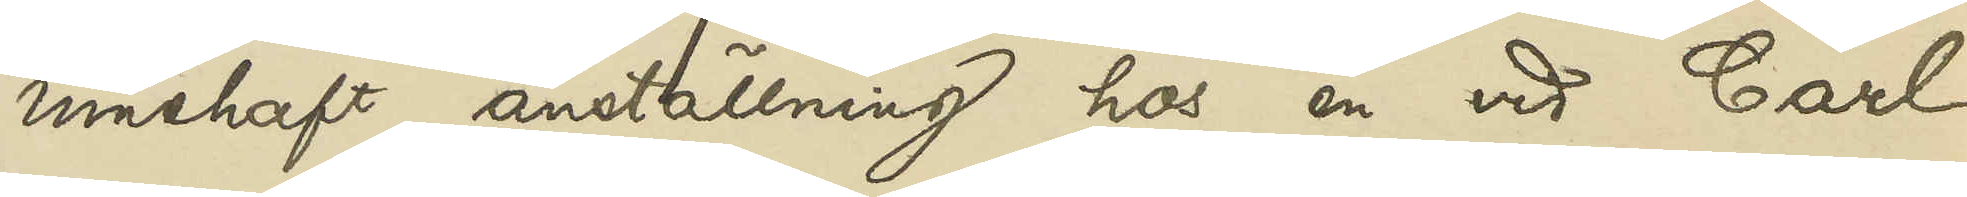innehaft anställning hos en vid Carl
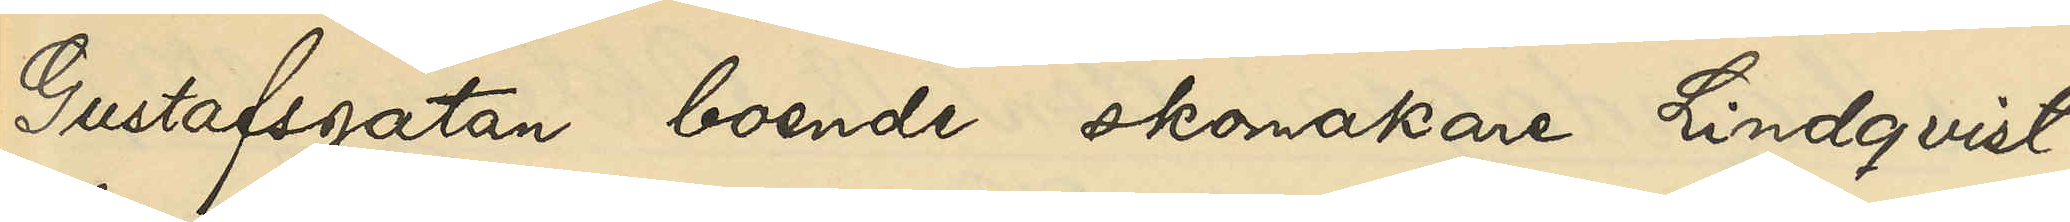Gustafsgatan boende skomakare LIndqvist,
